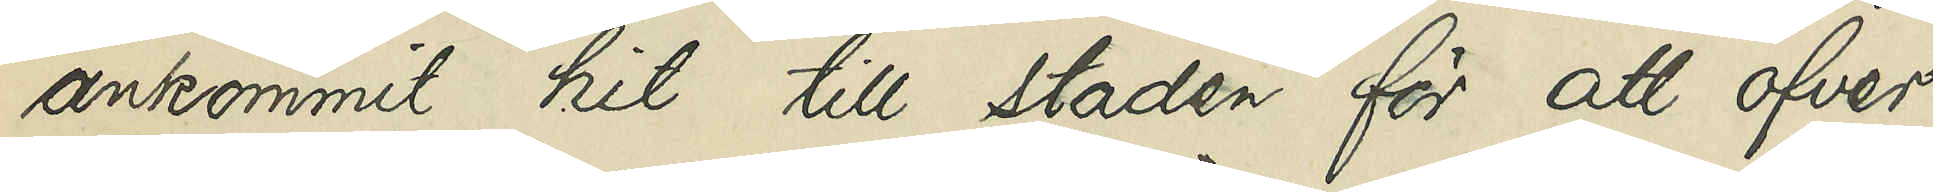ankommit hit till staden för att öfver¬
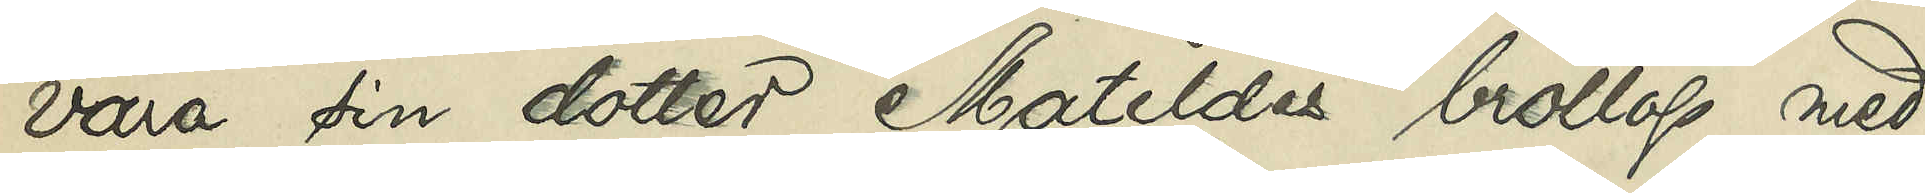vara sin dotter Matildas bröllop med
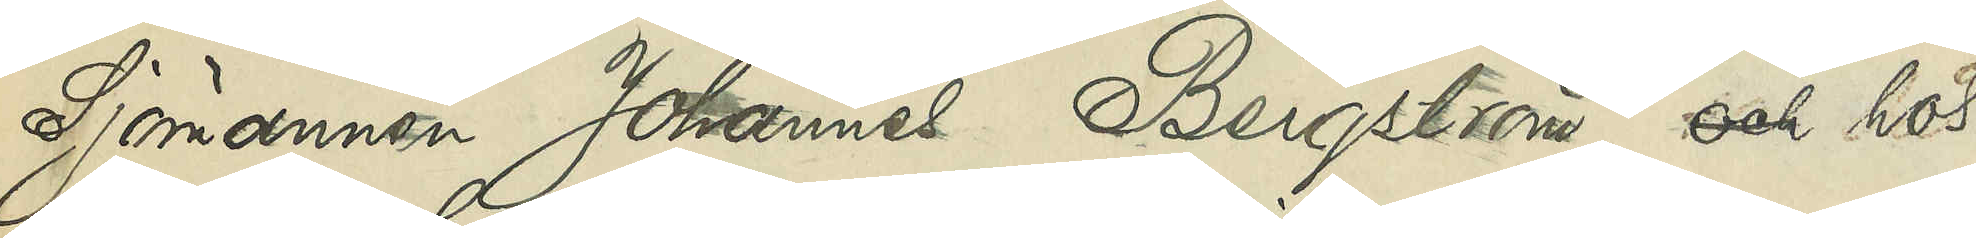Sjömannen Johannes Bergström, och hos
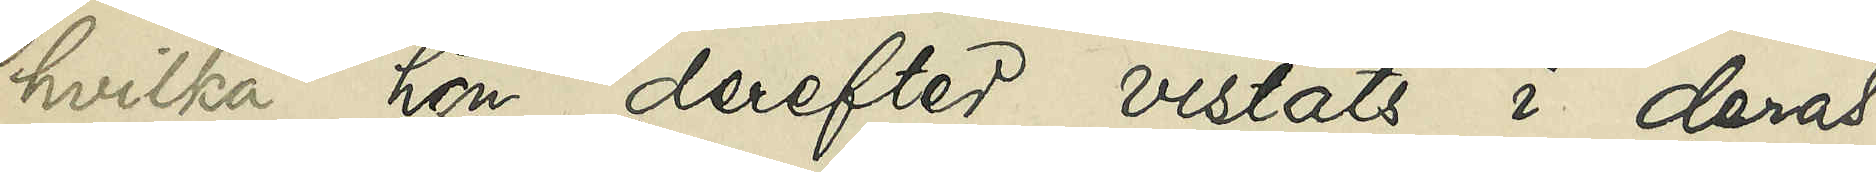hvilka hon derefter vistats i deras
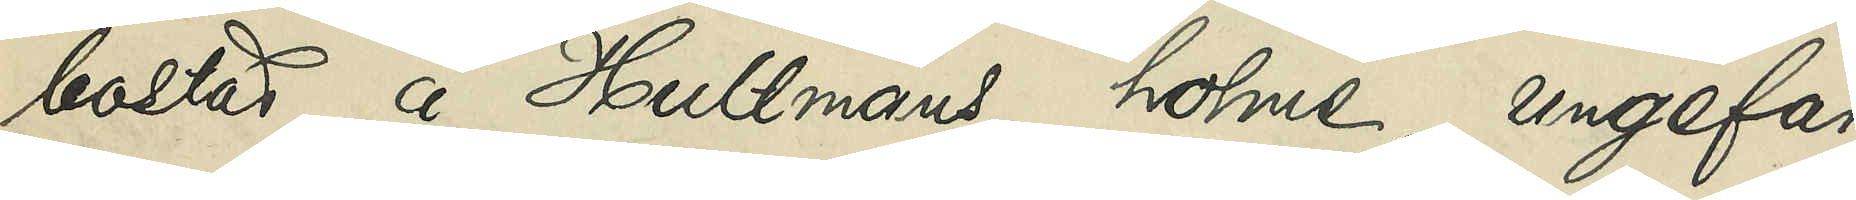bostad å Hultmans holme ungefär
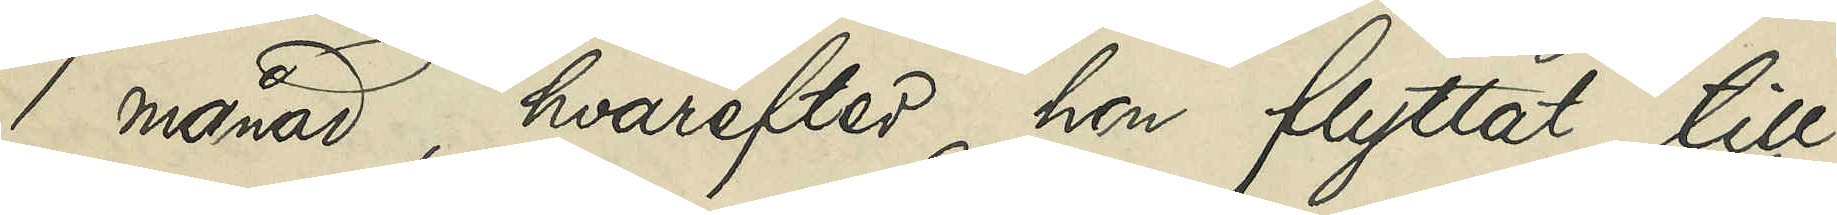1 månad, hvarefter hon flyttat till
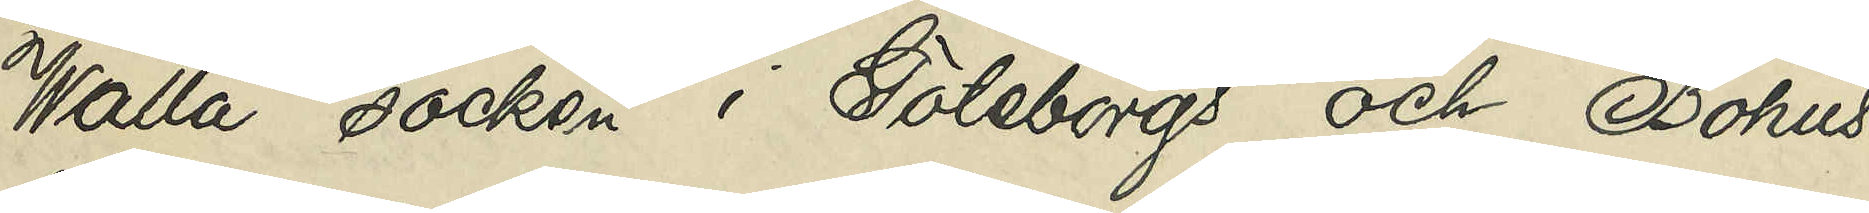Walla socken i Göteborgs och Bohus
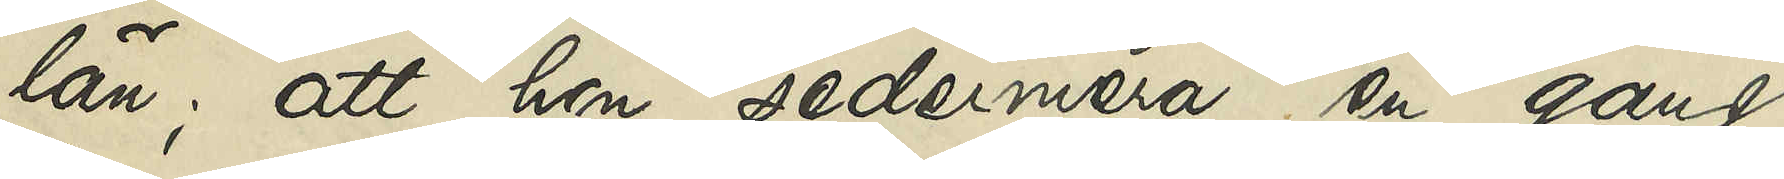län; att hon sedermera en gång
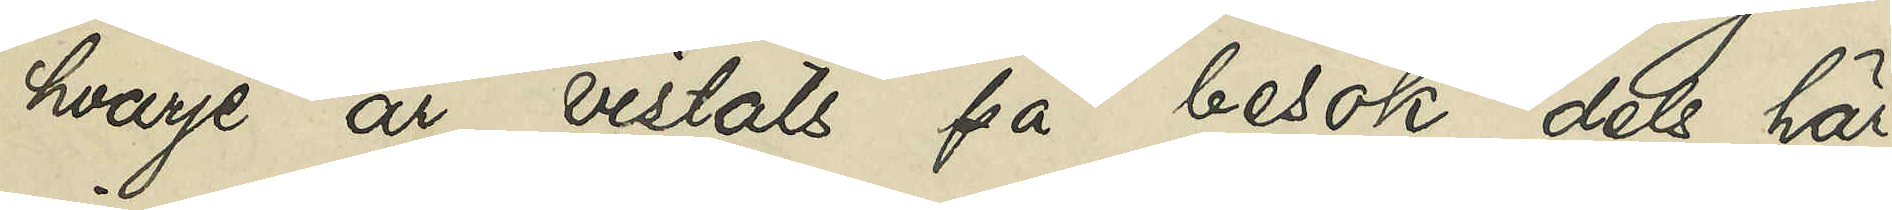hvarje år på besök dels här
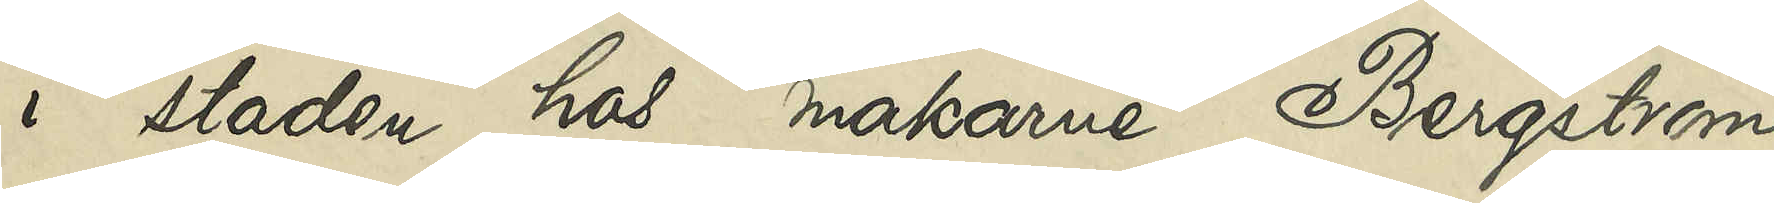i staden hos makarne Bergström
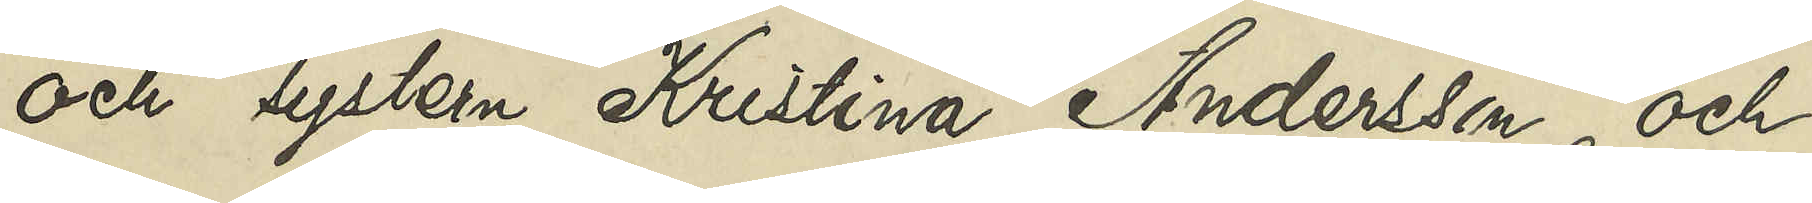och systern Kristina Andersson och
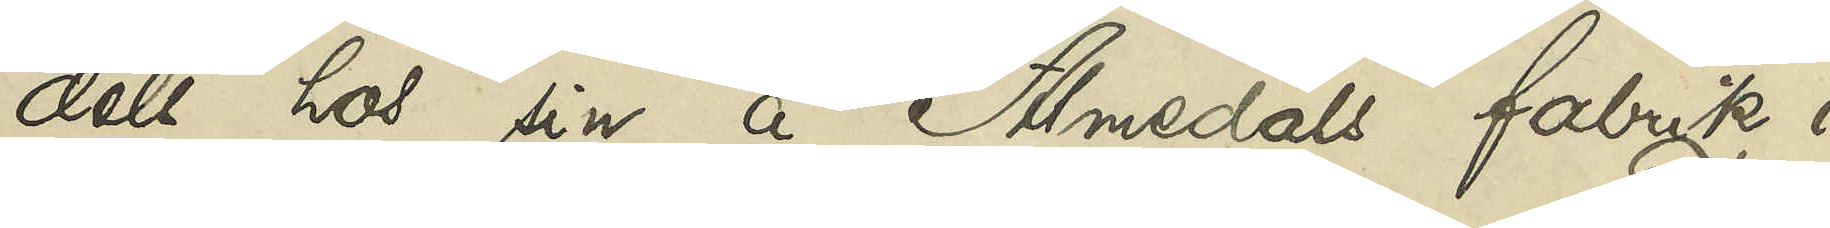dels hos sin å Almedals fabrik i
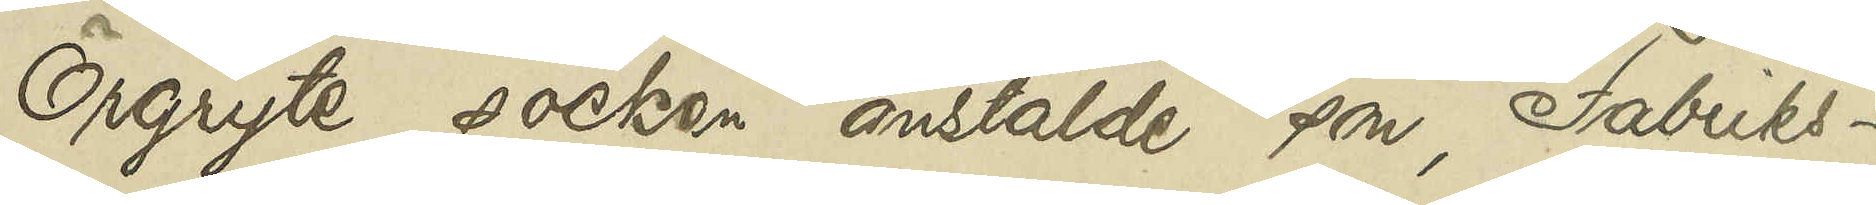Örgryte socken anstälde son, Fabriks¬
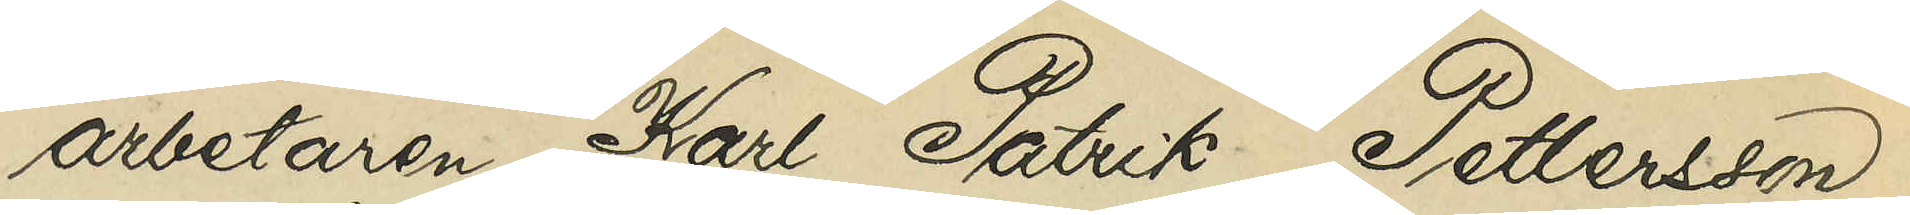arbetaren Karl Patrik Pettersson;
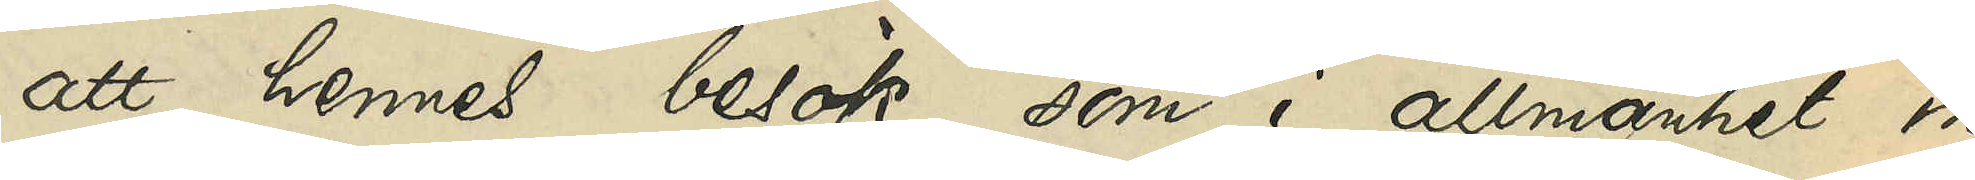att hennes besök, som i allmänhet in¬
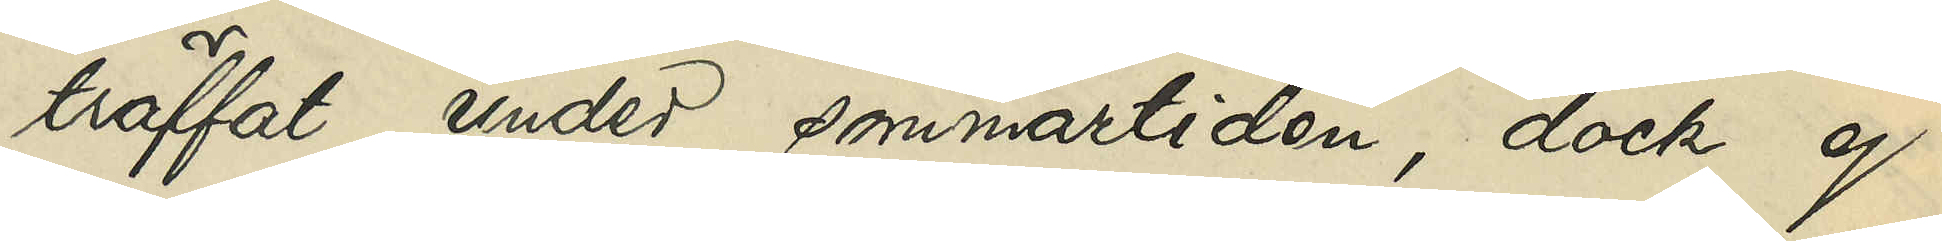träffat under sommartiden, dock ej
